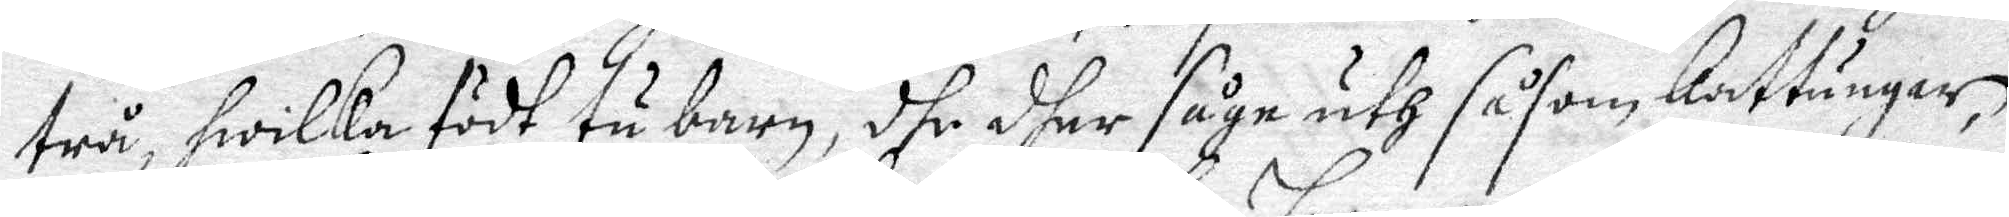twå, hwilka födh tu barn, dhe dher såge uth såsom kattungar,
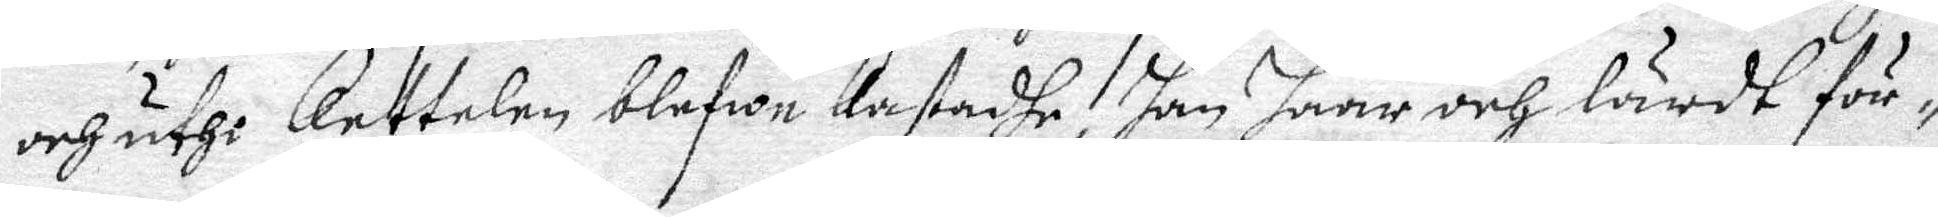och uthi Kettelen blefwe Kastadhe, han haar och lärdt för¬
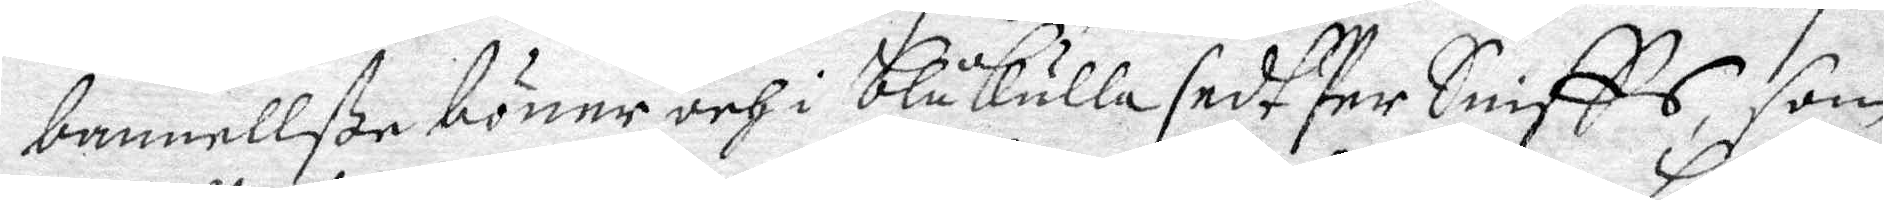bannellße böner och i blåkulla sedt Per Sniffs, som
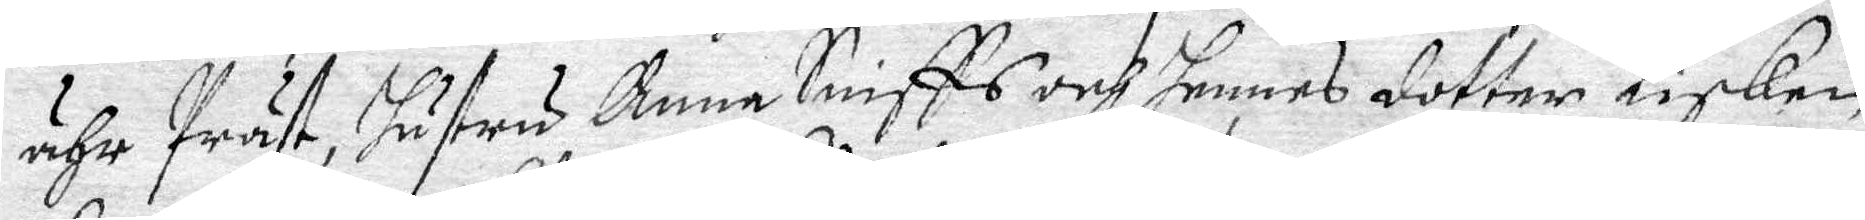ähr Präst, hustru Anna Sniiffs och hennes dotter Lisken
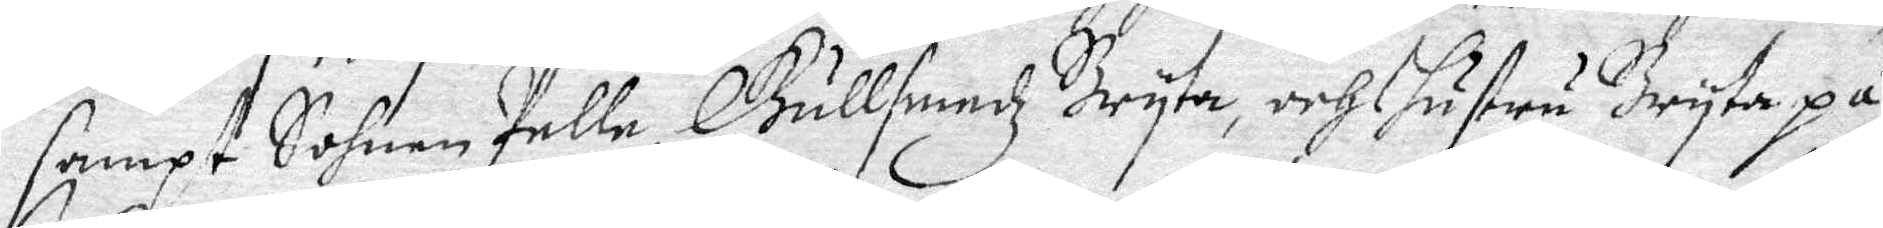sampt Sohnen Pelle, Gullsmedz Bryta, och hustru Bryta på
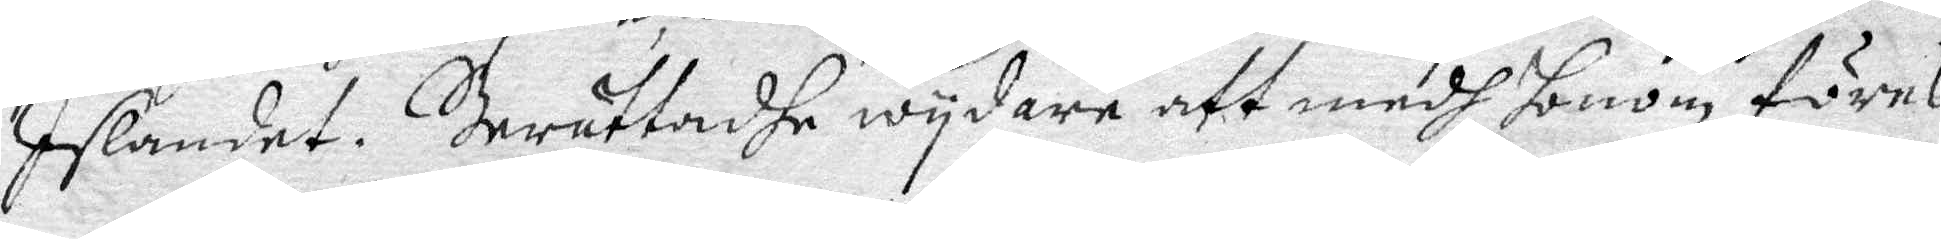Islandet. Berättadhe wydare att medh honom föres
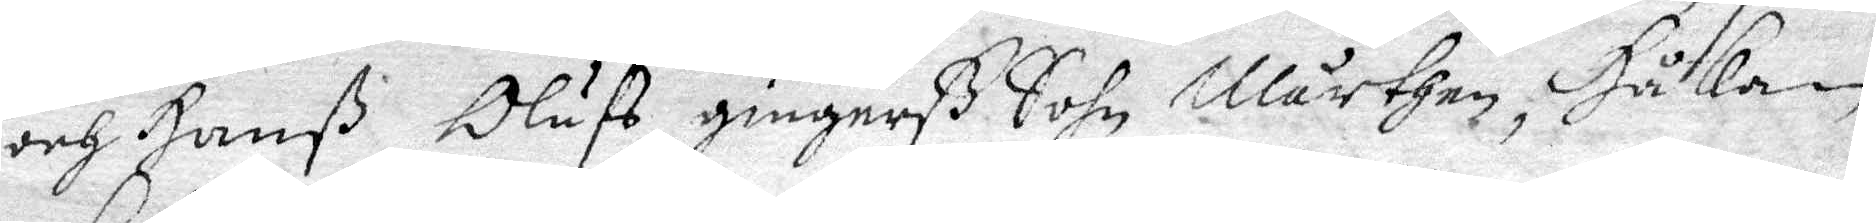och Hanß Olufs gingerß Sohn Mårthen, Håkan
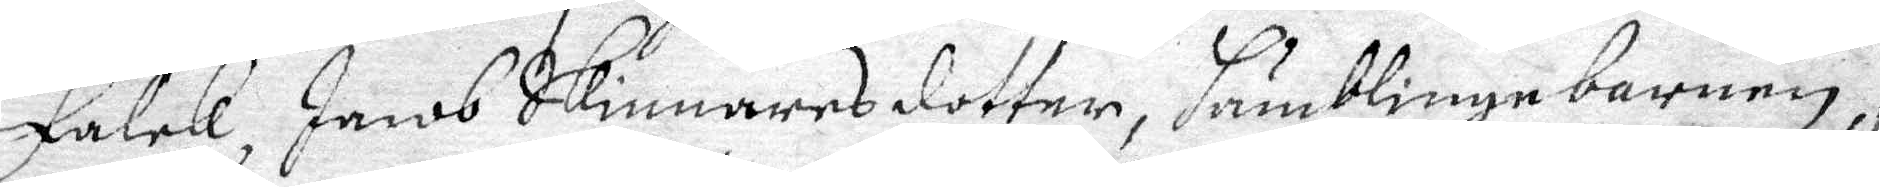Falck, Jacob Skinnares dotter, Humblinge barnen,
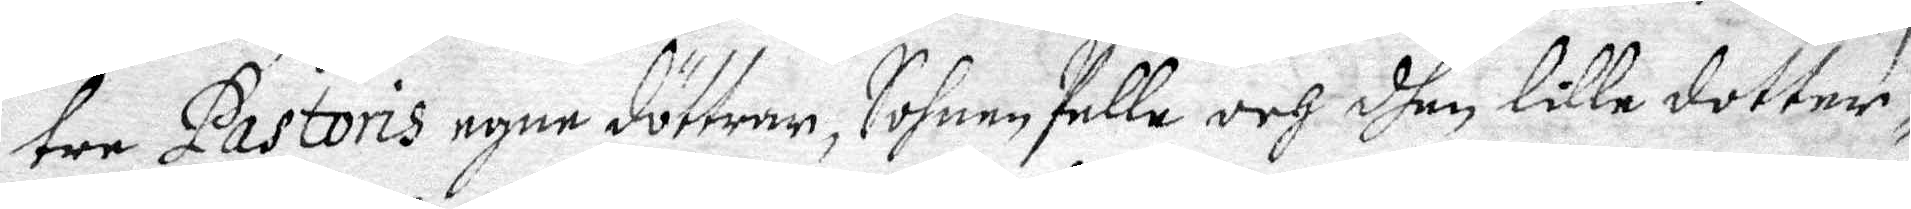tre Pastoris egne döttrar, Sohnen Pelle och dhen lille dotter¬
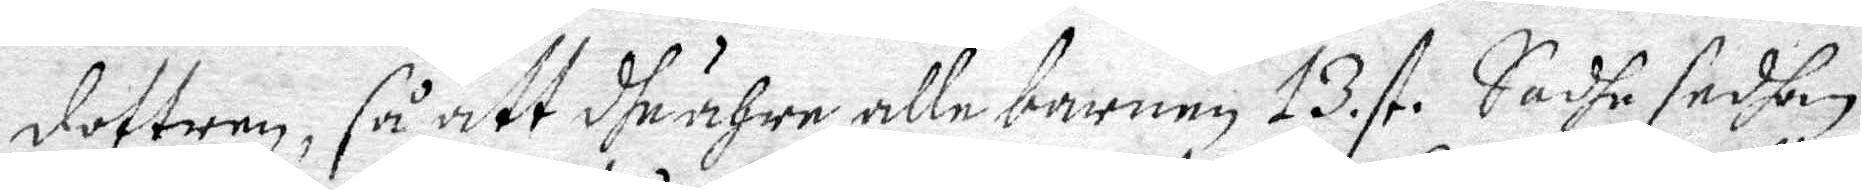dottren, så att dhe ähre alle barnen 13.st. Sadhe sedhan
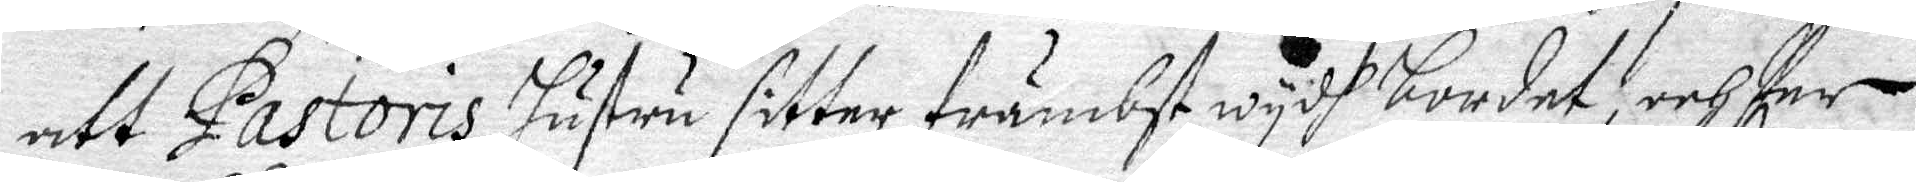att Pastoris hustru sitter främbst wydh bordet, ochc Per
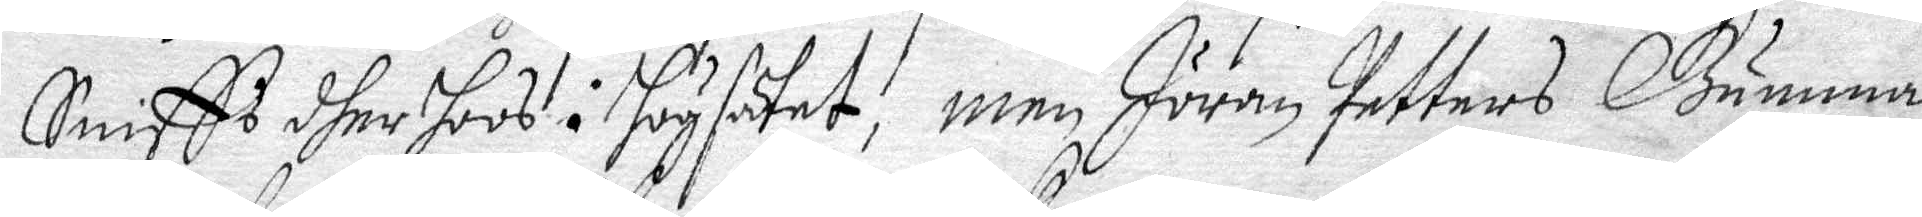Snifft dher hoos i högsätet, Men Jöran Petters Gumma
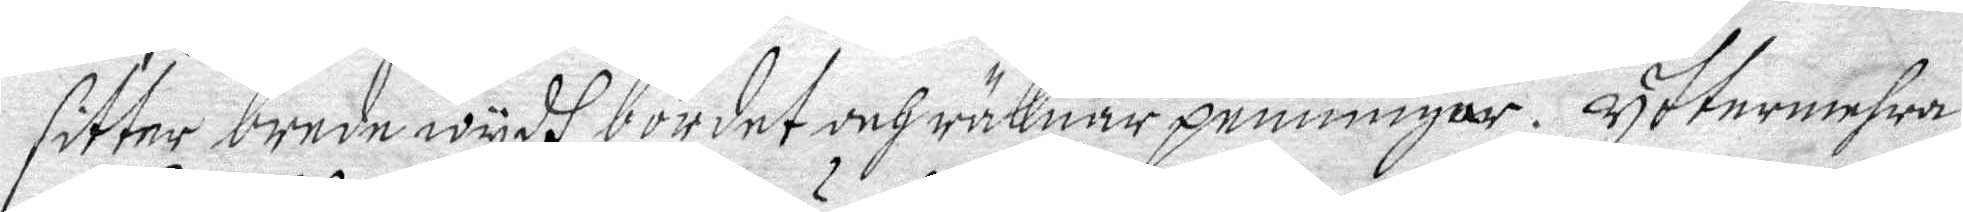sitter brede wydh bordet och räknar penningar. Yttermehra
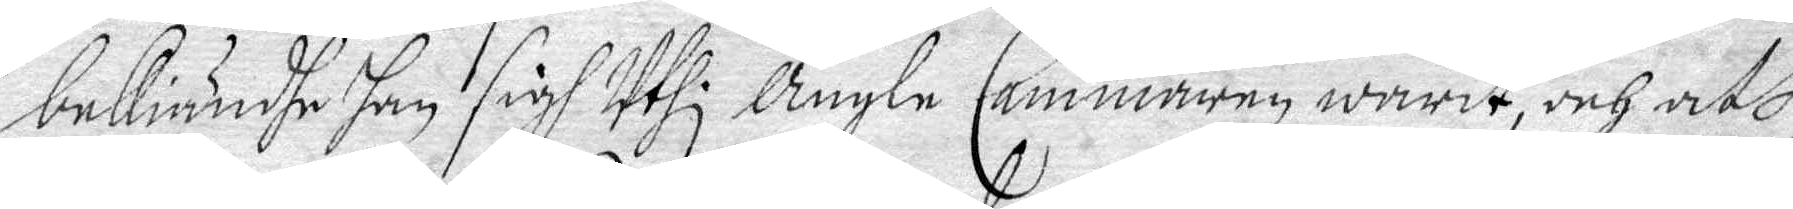bekiändhe han sigh Uthi Ängle Cammeren warit, och att 
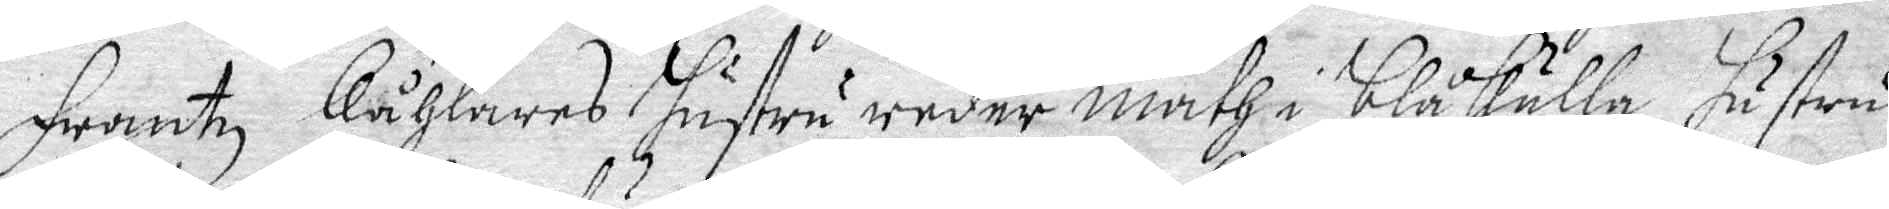Frantz Kåhlares hustru reder math i blåkulla, hustru
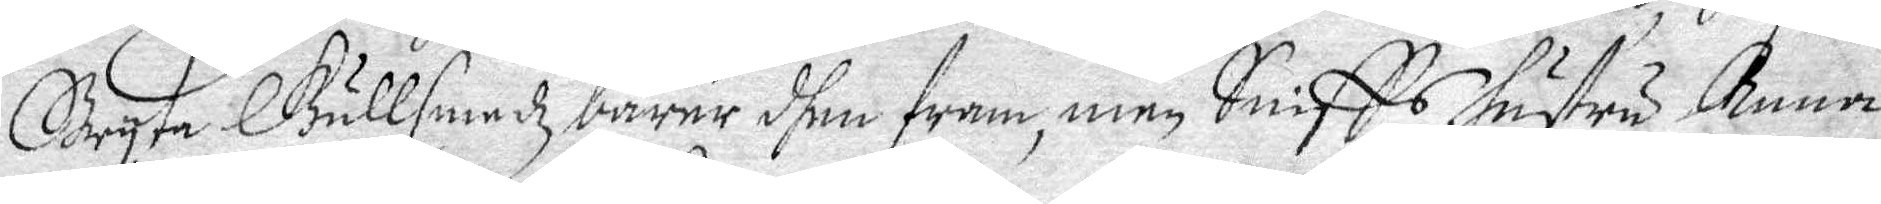Bryta Gullsmedz bärer dhen fram, men Sniffs hustru Anna
